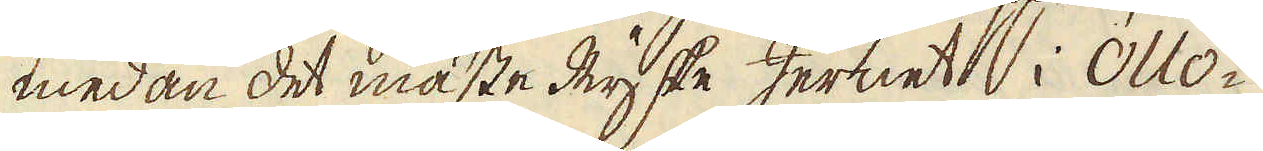medan det mäste Ryske Jernet i Ollo-
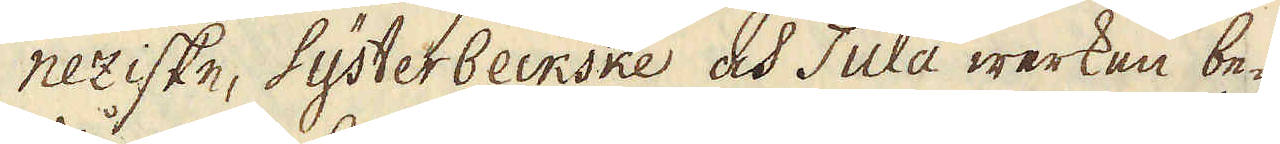neziske, Systerbeckske och Tula werken be-
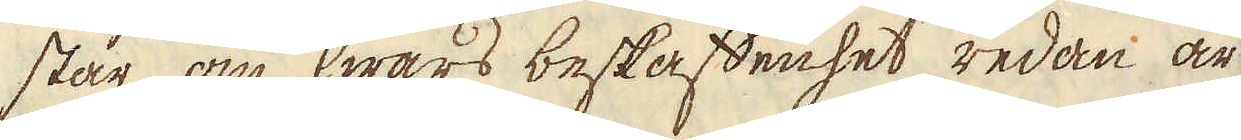står, om hwars beskaffenhet redan är
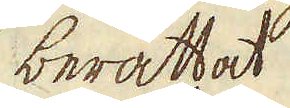berättat.
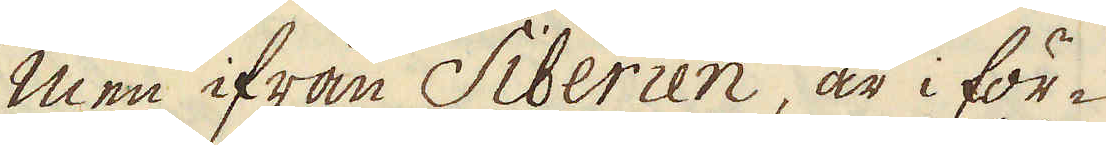Men ifrån Siberien, är i för-
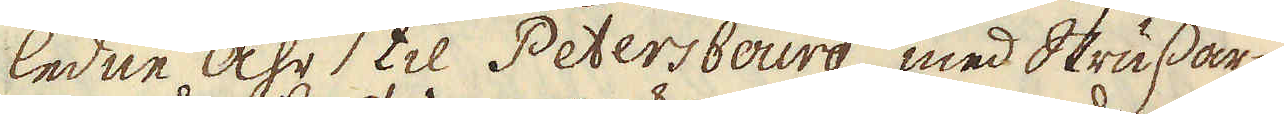ledne åhr til Petersbourg, med Slussar-
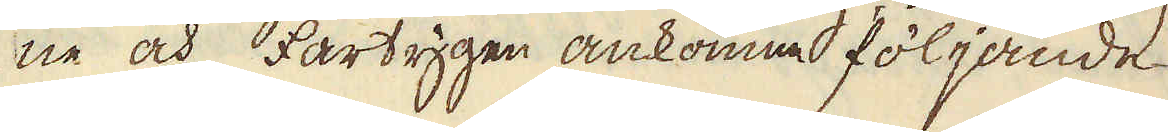ne och fartygen ankomne följande
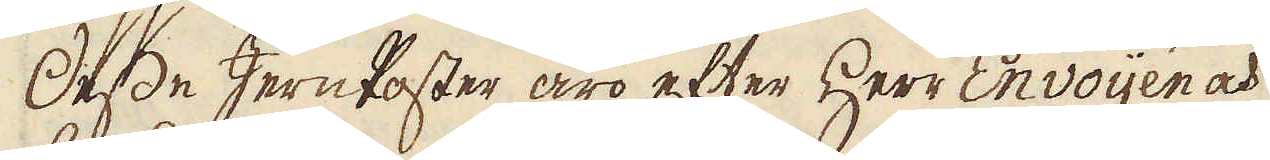Desse Jern Poster äro efter Herr Envoijén och
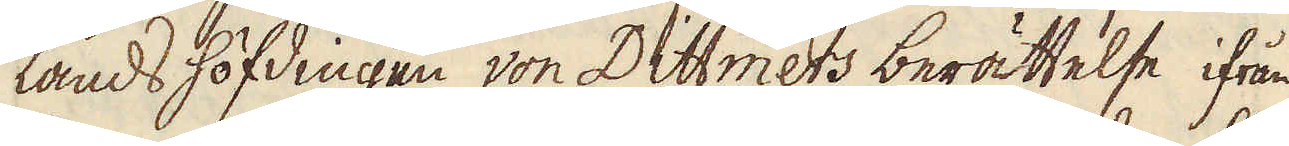landshöfdingen von Dittmers berättelse ifrån
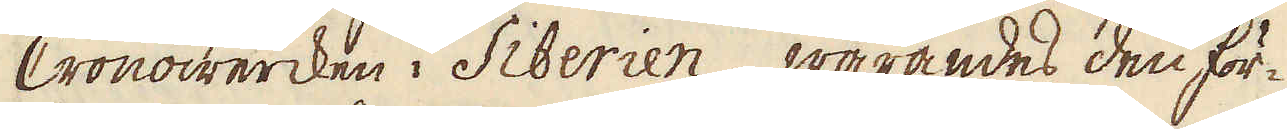Cronowercken i Siberien, warandes den för-
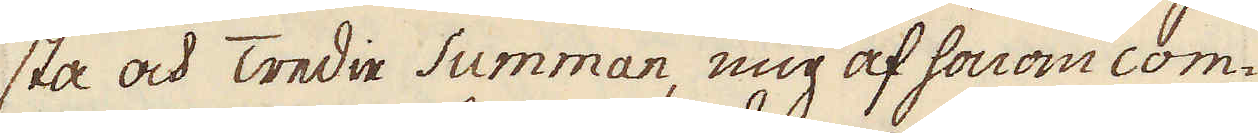sta och Tredie Summan, mig af honom com-
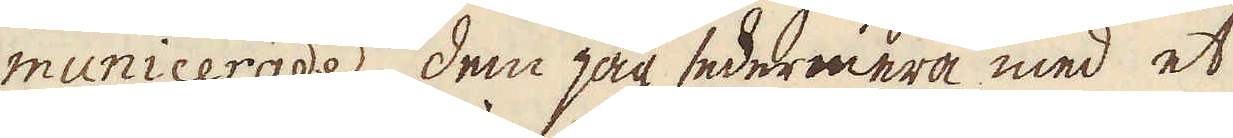municerade, dem jag sedermera med et
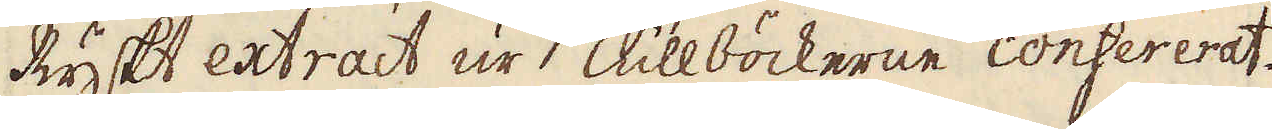Ryskt extract ur Tullböckerne confererat.
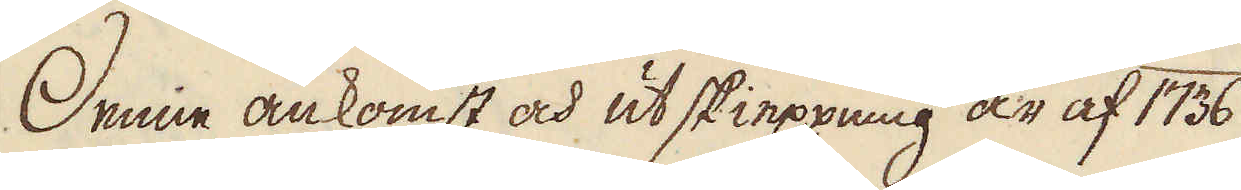Denne ankomst och utskieppning är af 1736
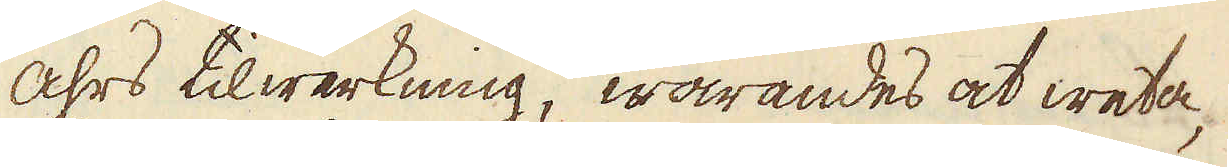åhrs tilwerkning, warandes at weta,
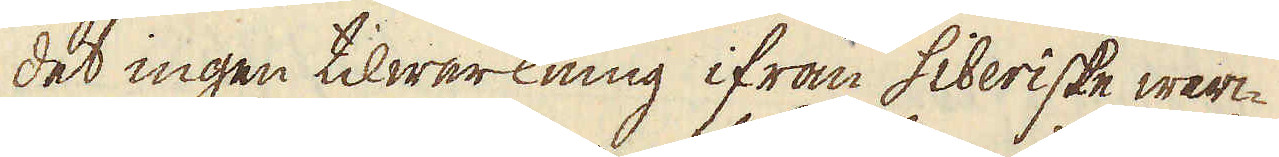det ingen tilwerkning ifrån Siberiske werc-
